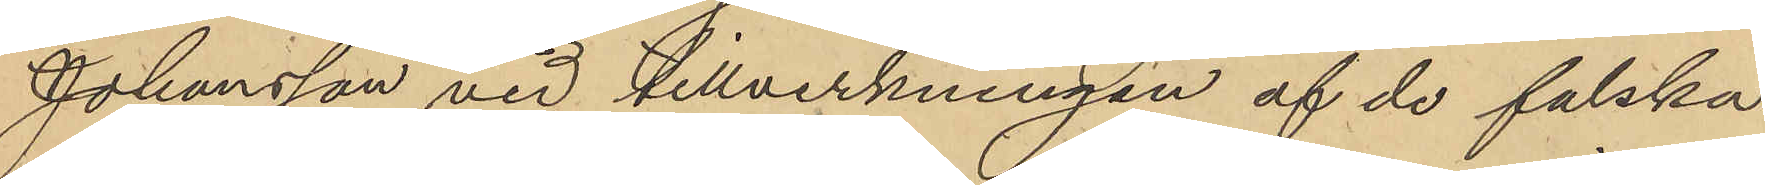Johansson vid tillverkningen af de falska
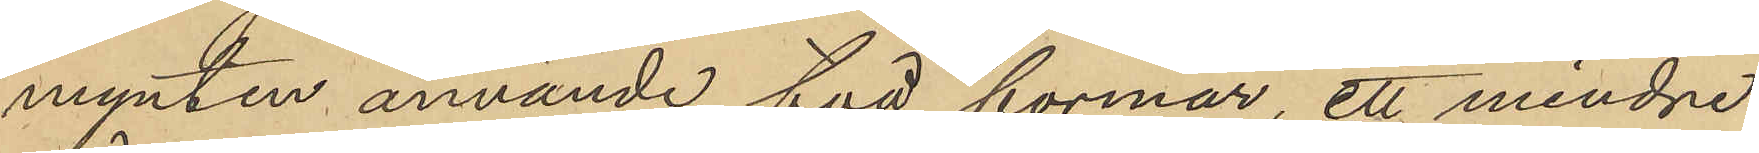mynten använde två formar, ett mindre
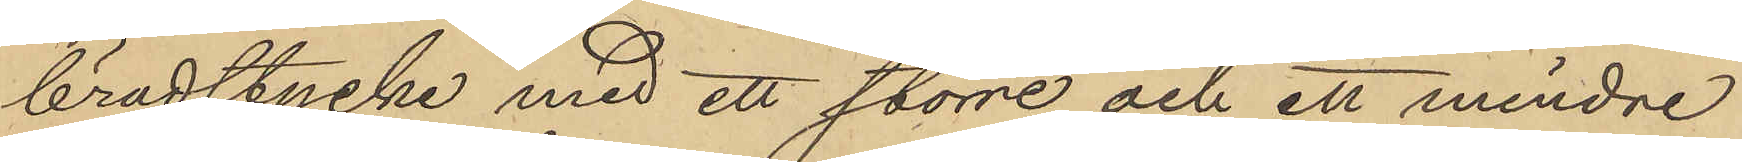brädstycke med ett större och ett mindre
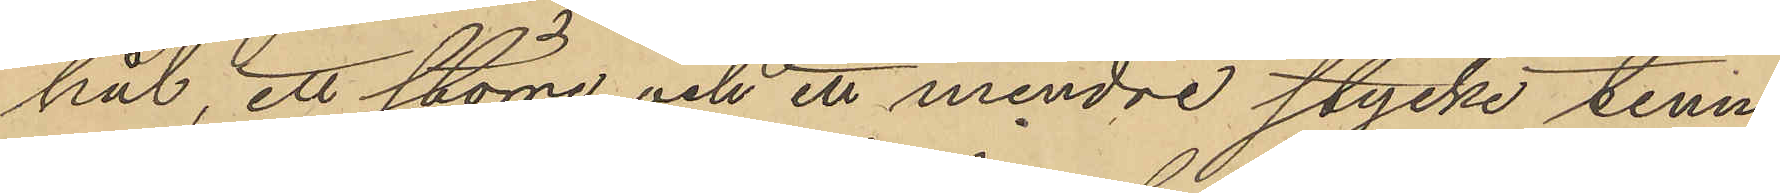hål, ett större och ett mindre stycke tenn,
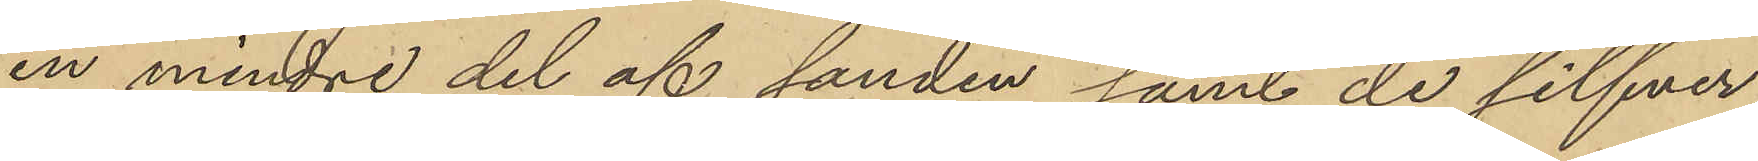en mindre del af sanden samt de silfver¬
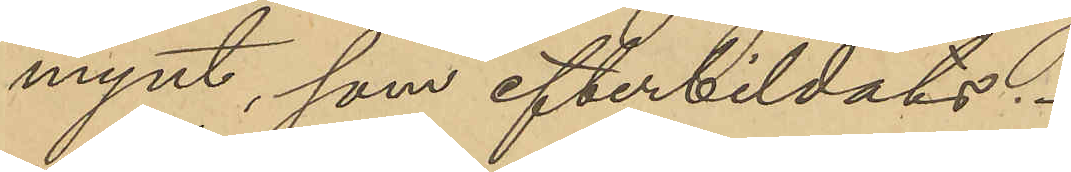mynt, som efterbildats.
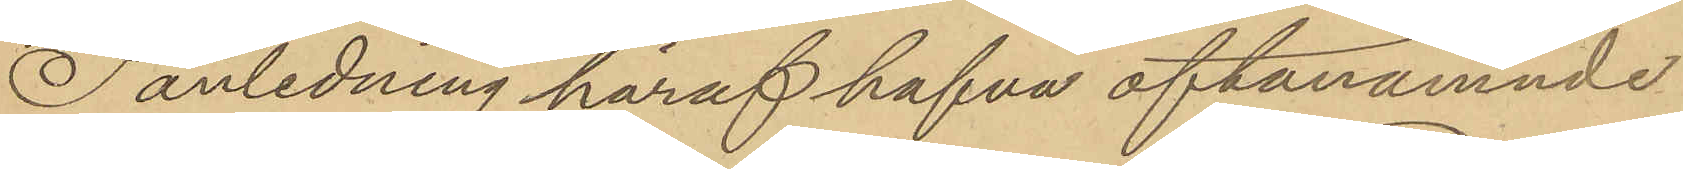I anledning häraf hafva oftanämnde
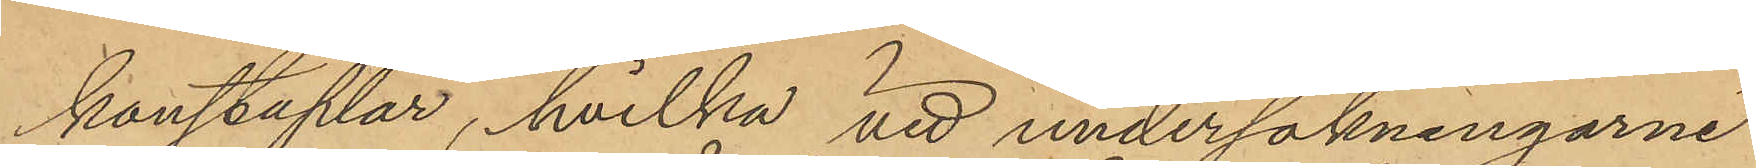konstaplar, hvilka vid undersökningarne
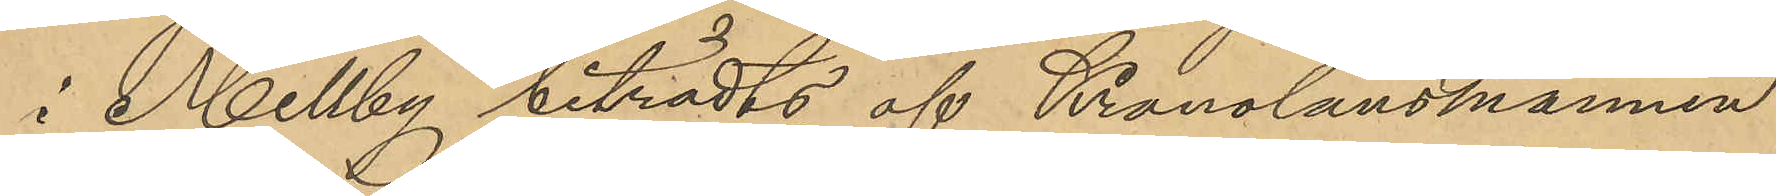i Mellby biträdts af Kronolänsmannen
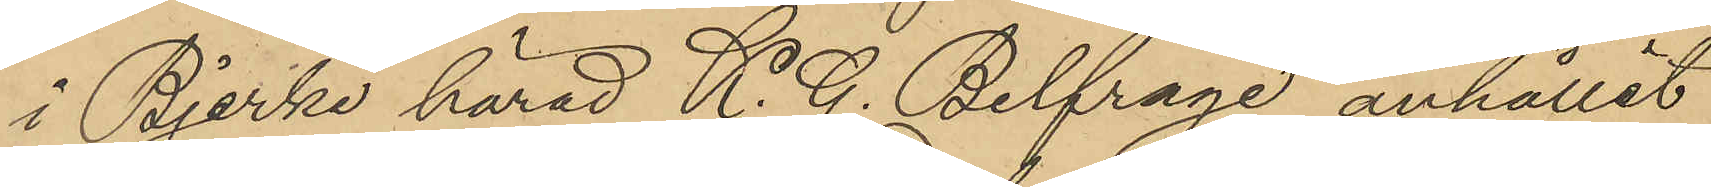i Bjerke härad K. G. Belfrage anhållit
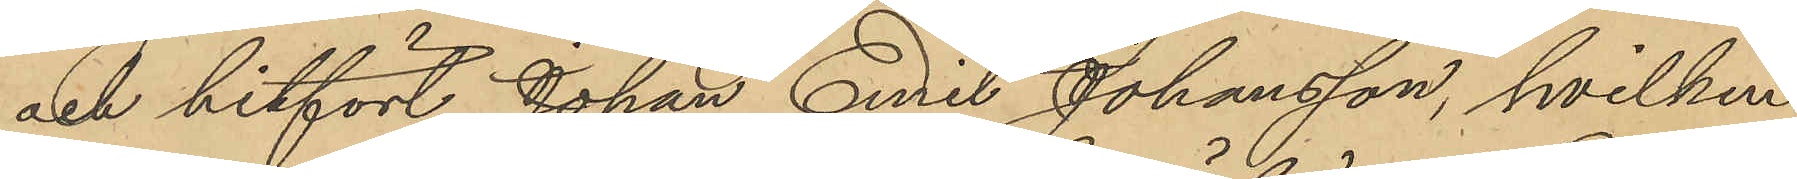och hitfört Johan Emil Johansson, hvilken
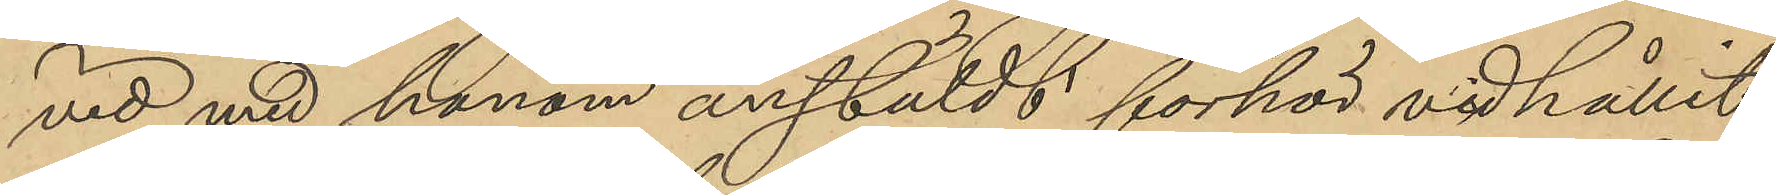vid med honom anstäldt förhör vidhållit
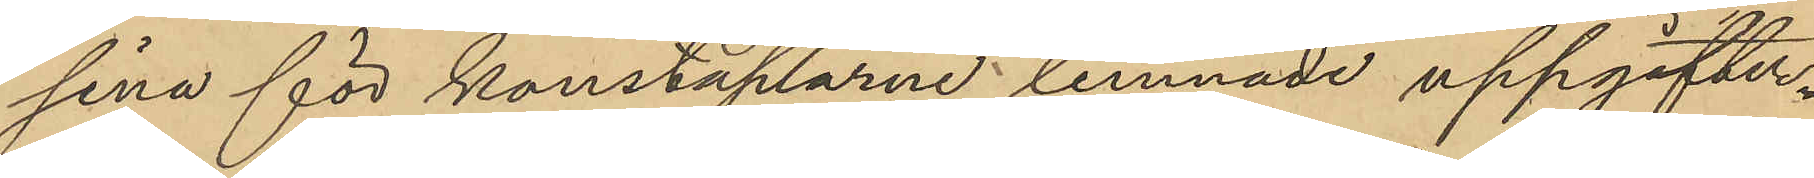sina för konstaplarne lemnade uppgifter.
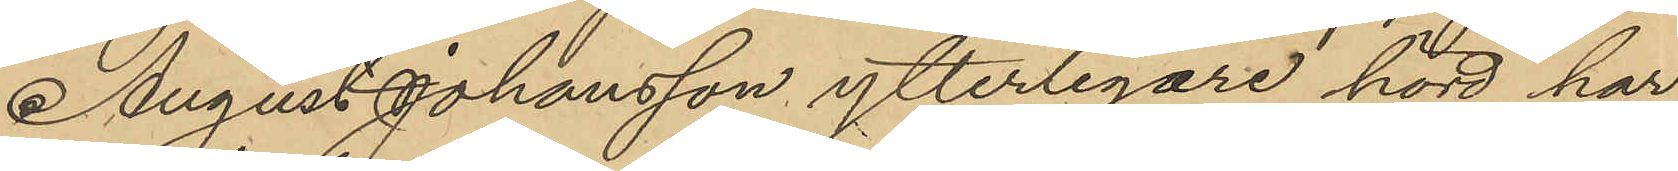August Johansson ytterligare hörd har
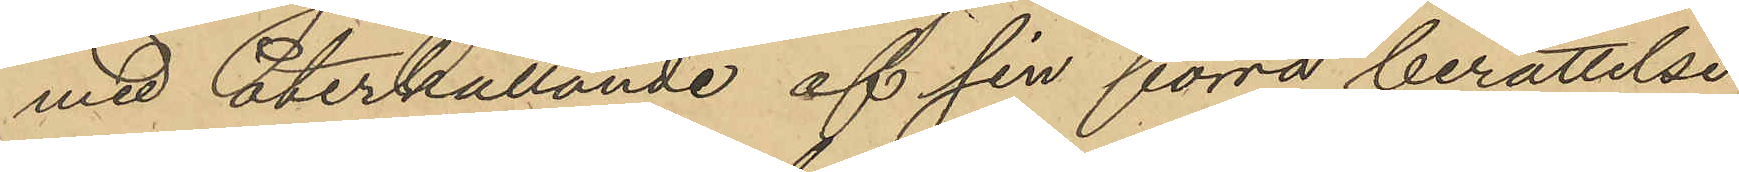med återkallande af sin förra berättelse
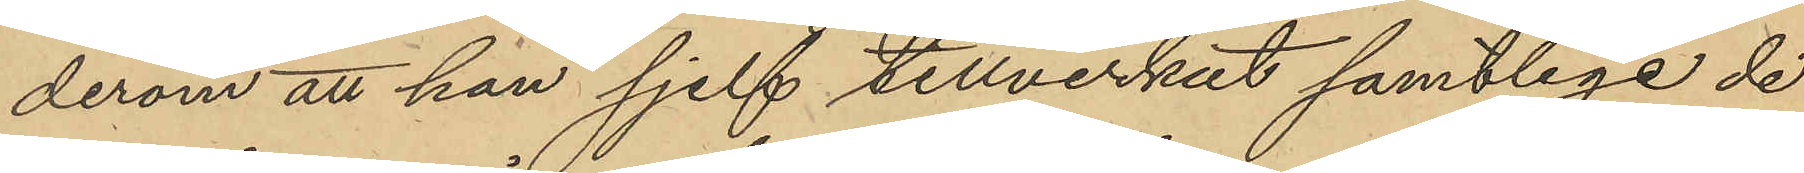derom att han sjelf tillverkat samtlige de
